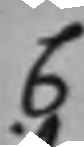C
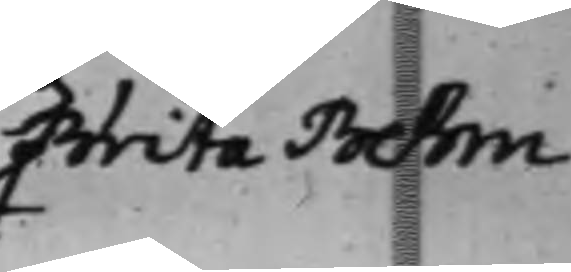Brita Behm
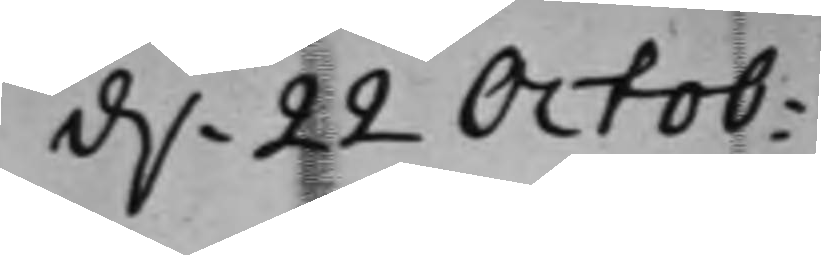d. 22 Octob:
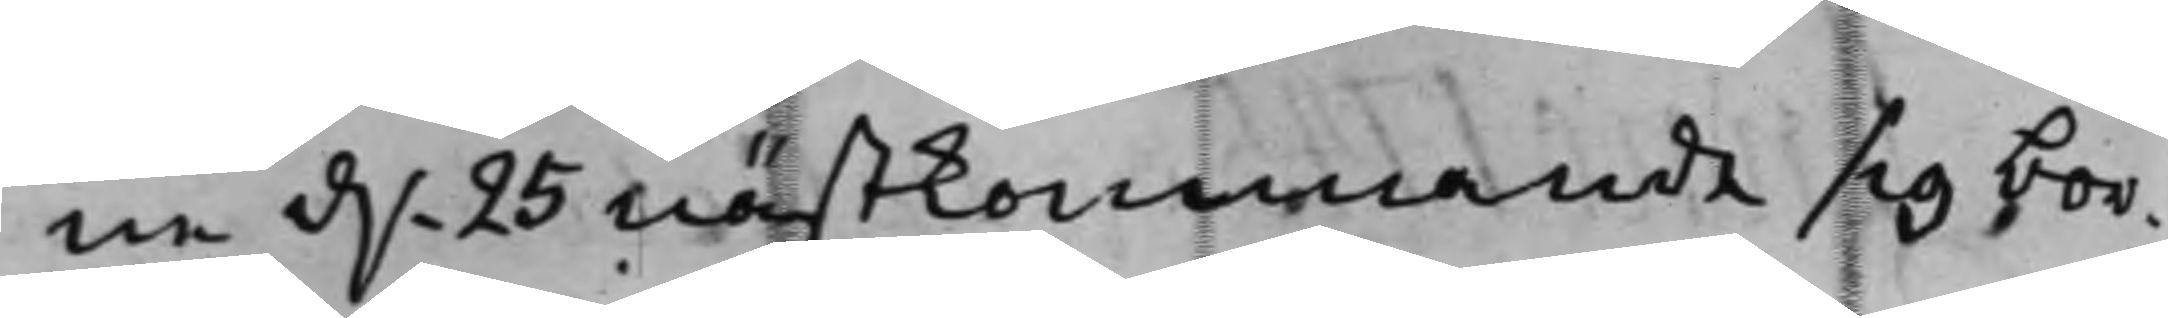ne d. 25 nästkommande sig bor¬
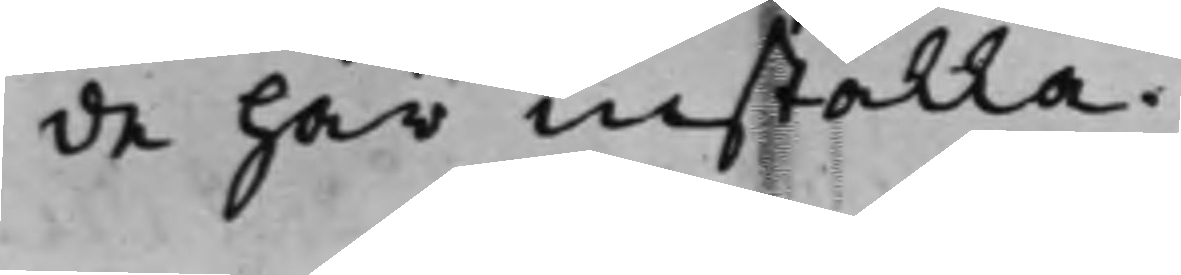de här inställa.
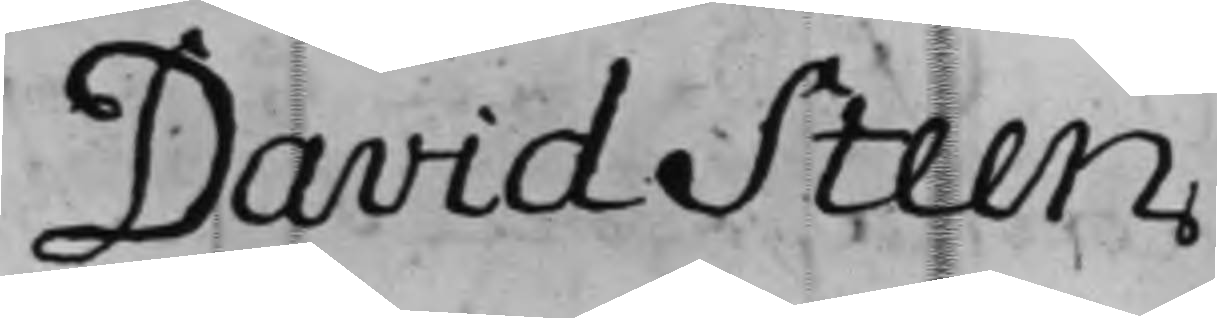David Steen
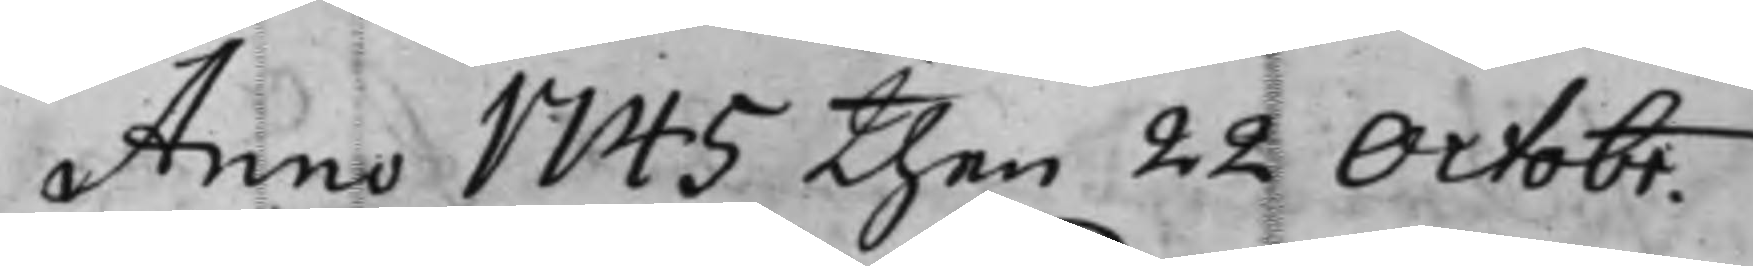Anno 1745 then 22 Octobr.
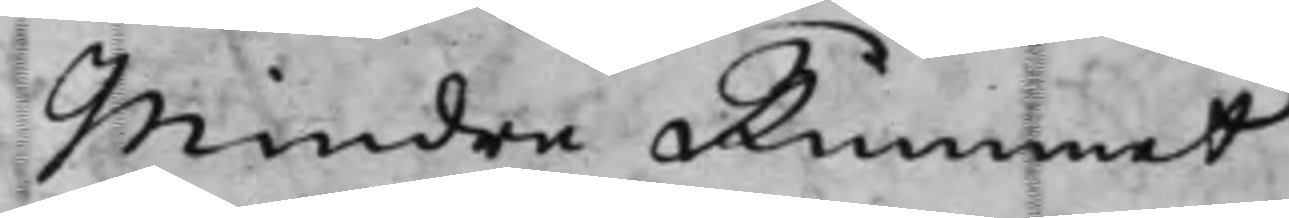Mindre Rummet
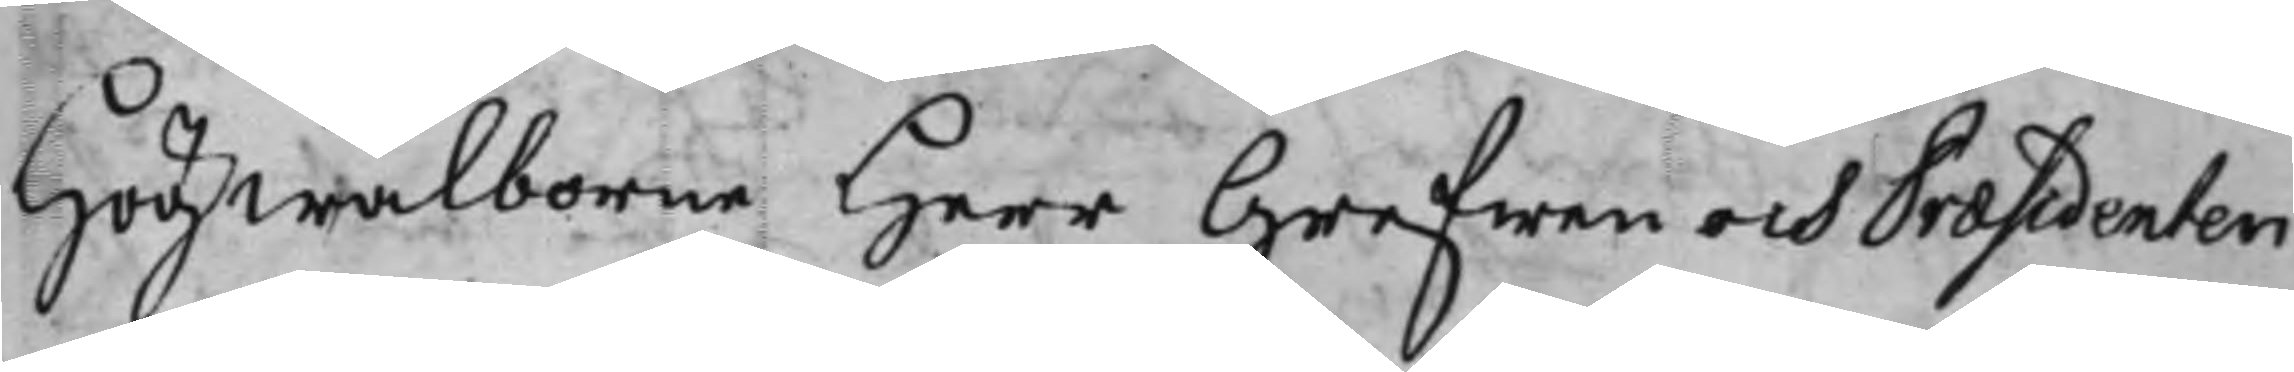Högwälborne Herr Grefwen och Præsidenten
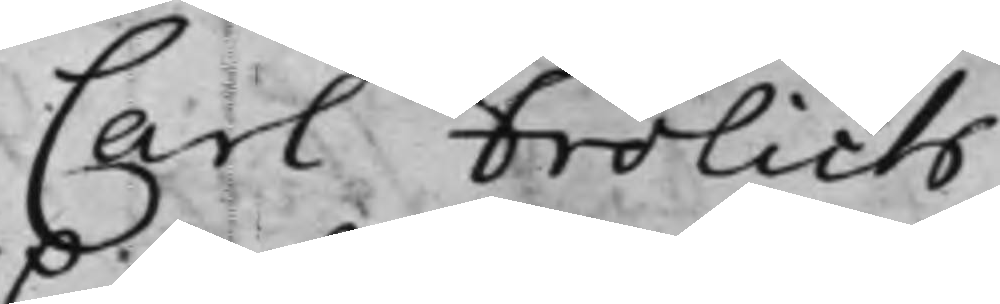Carl Frölich
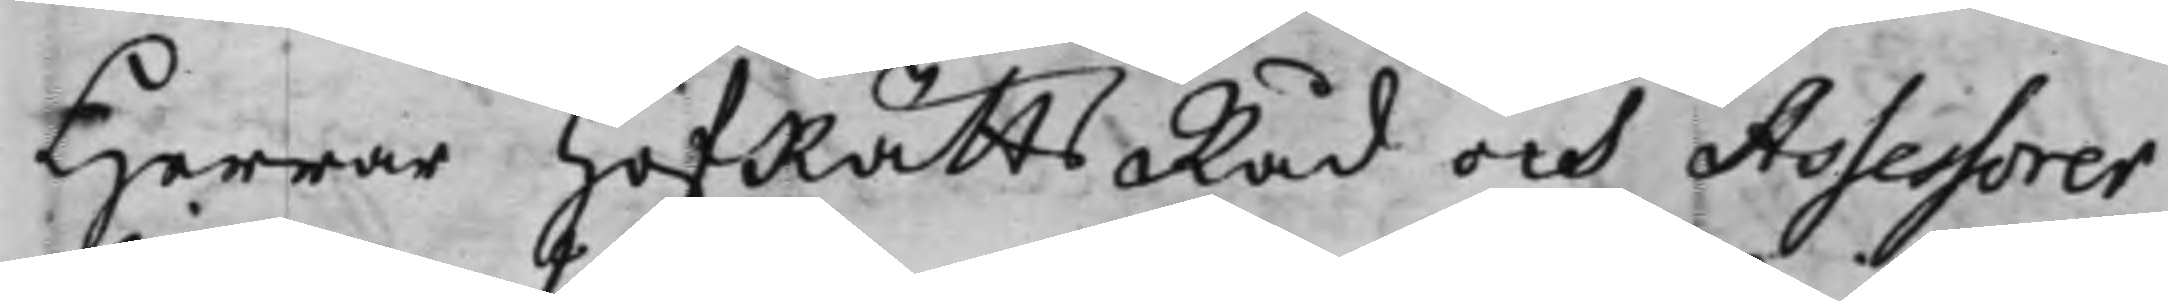Herrar HofRättsRåd och Assessorer
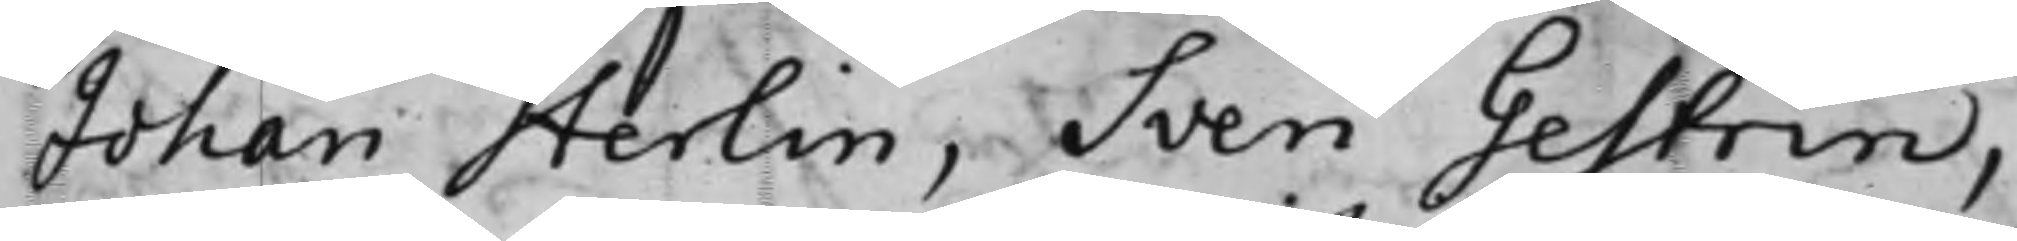Johan Herlin, Sven Gestrin,
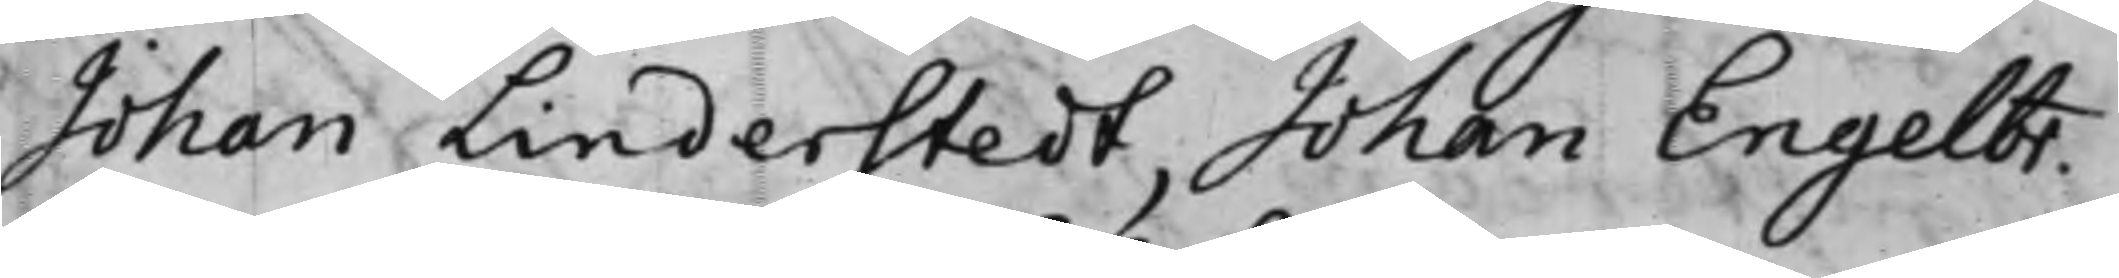Johan Linderstedt, Johan Engelbr.
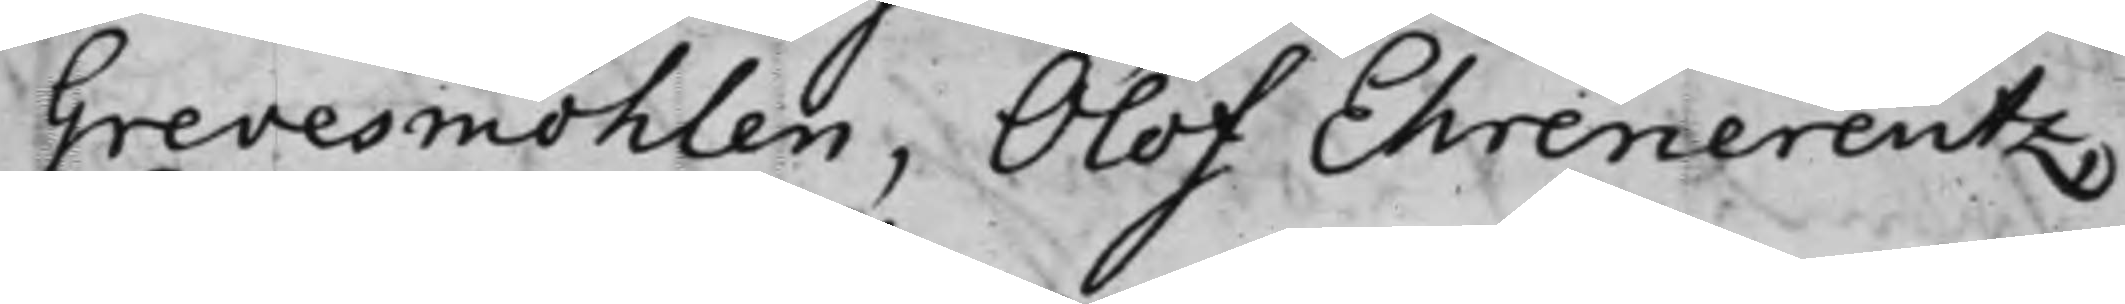Grevesmöhlen, Olof Ehrencreutz,
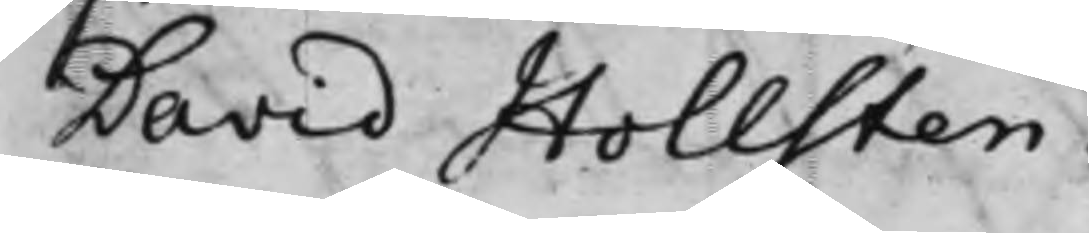David Hollsten.
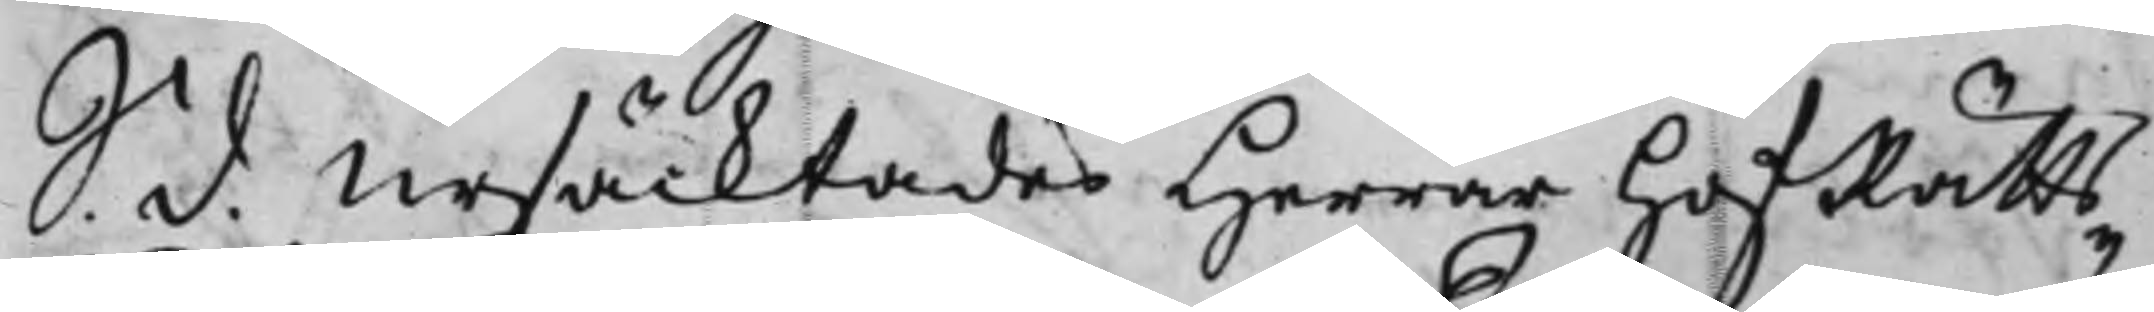S. d. Ursäcktades Herrar HofRätts¬
